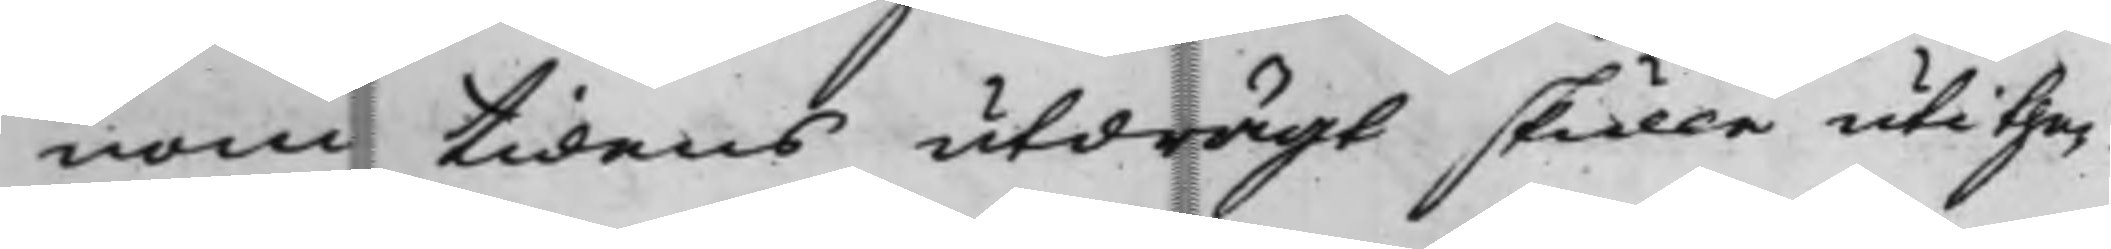nom tidens utdrägt skulle uti the¬
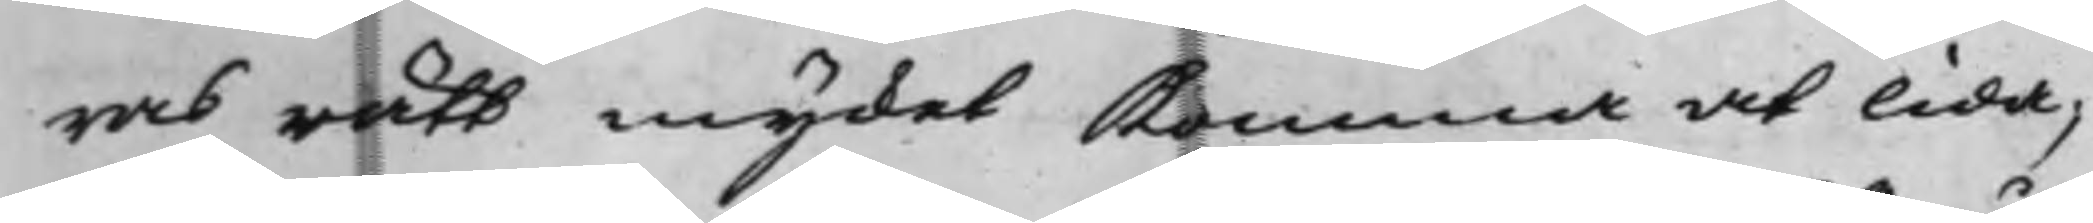ras rätt mycket Komma at lida,
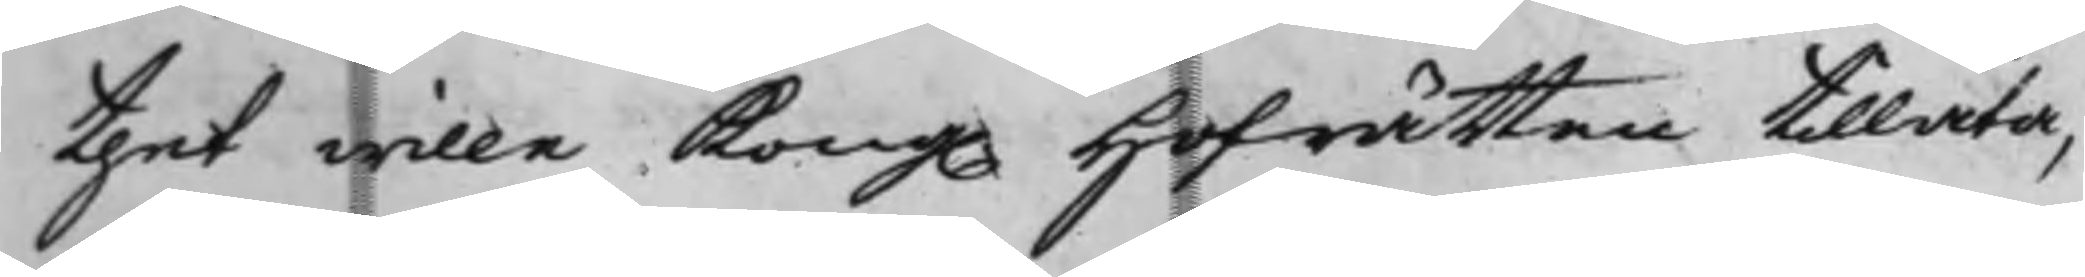thet wille Kong. Hofrätten tillåta,
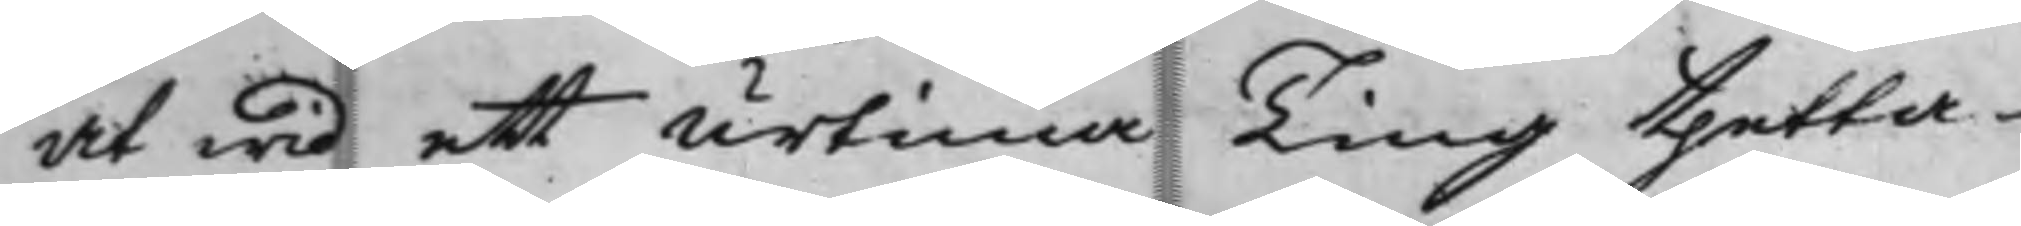at wid ett urtima Ting thetta
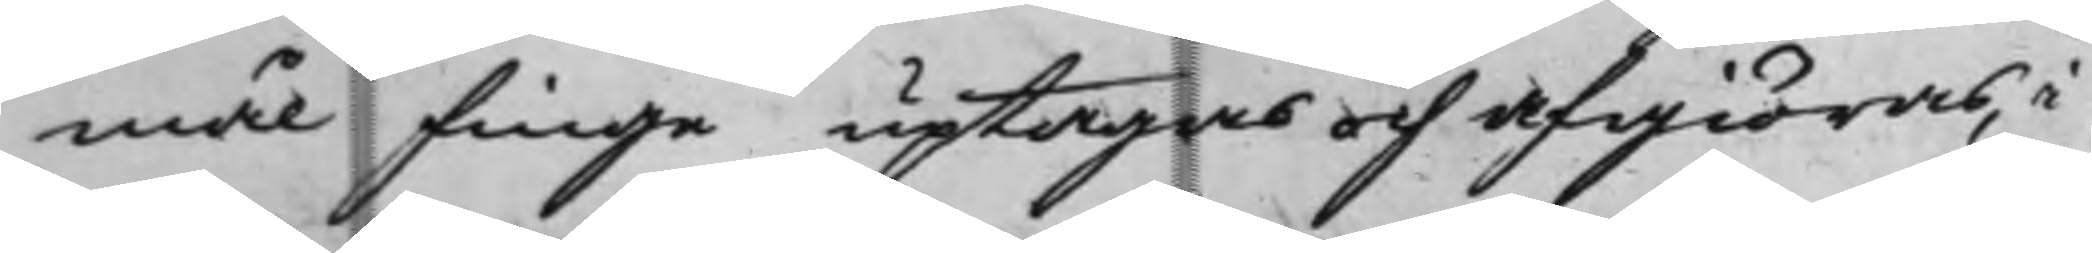mål finge uptagas och afgiöras, i
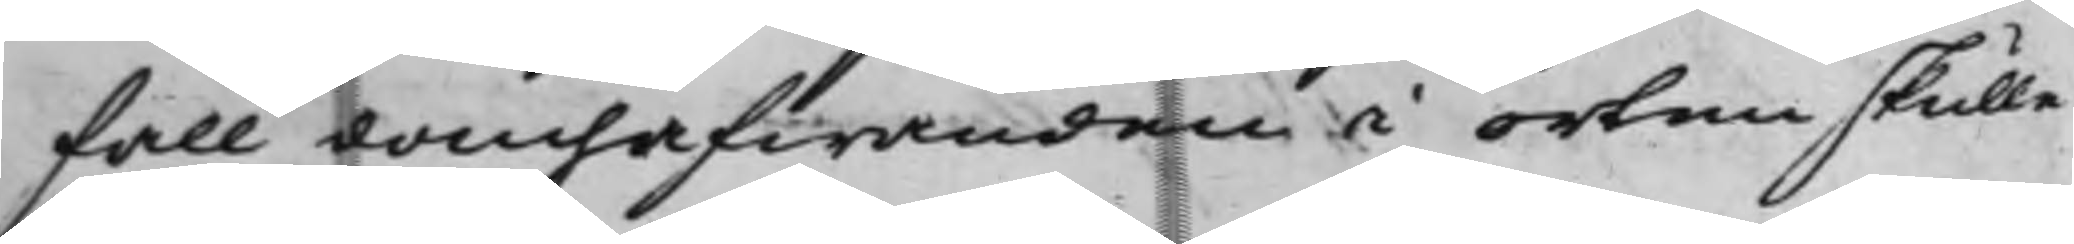fall domhafwanden i orten skulle
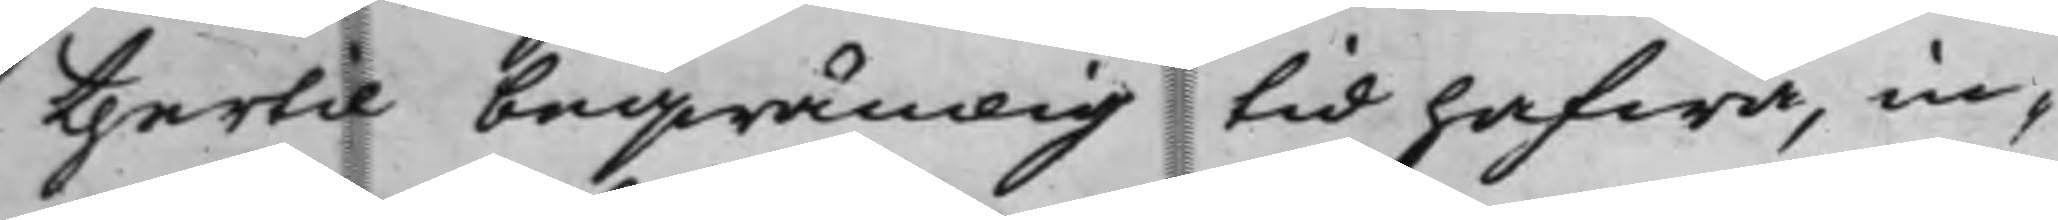thertil beqwämlig tid hafwa, in¬
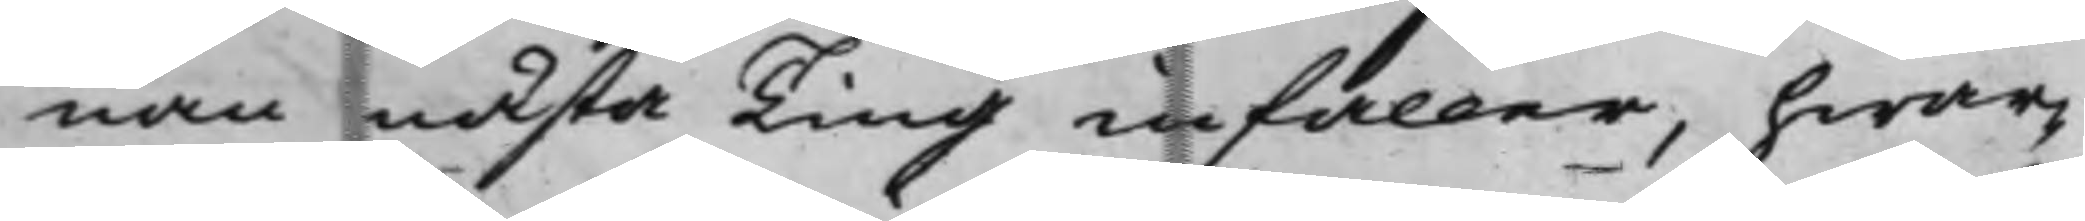nan nästa Ting infaller, hwar¬
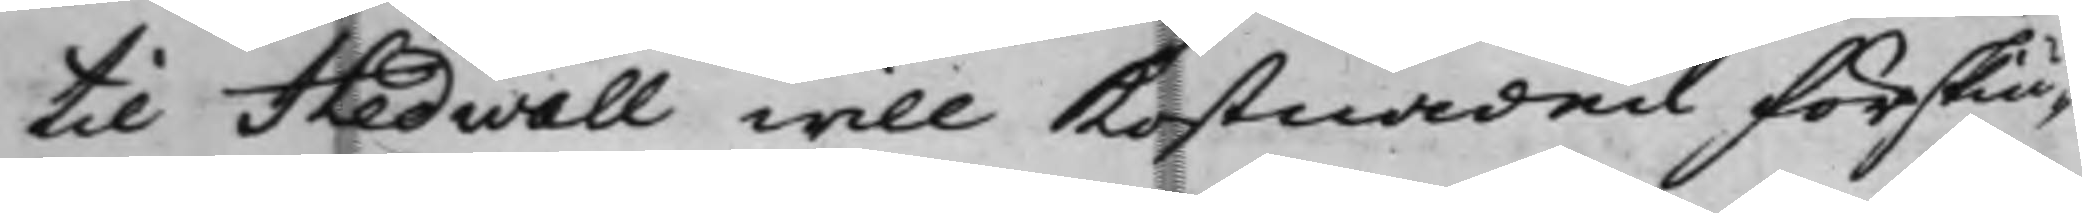til Hedwall will Kostnaden förskiu¬
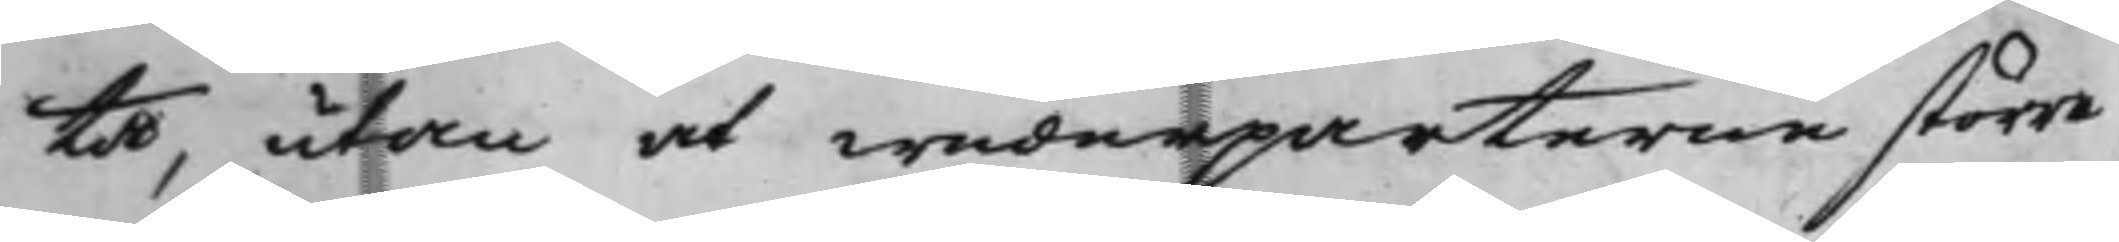ta, utan at wederparterne större
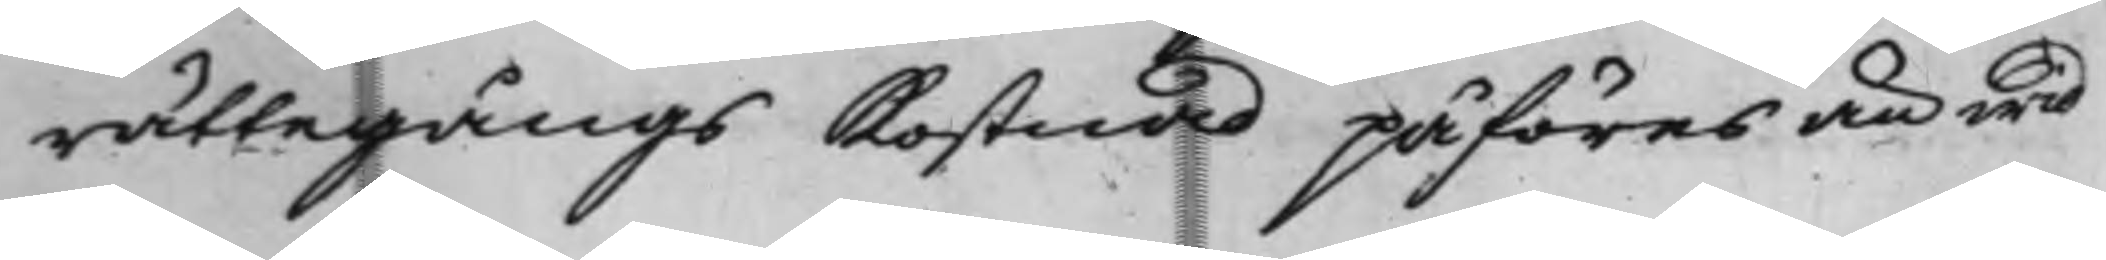rättegångs Kostnad påföres än wid
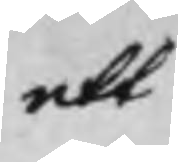ett
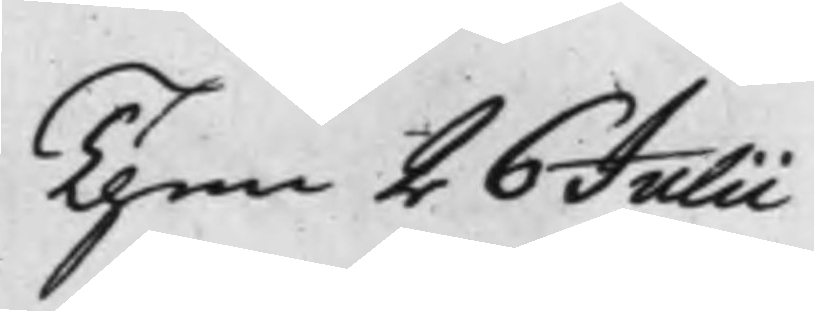Then 26 Julii
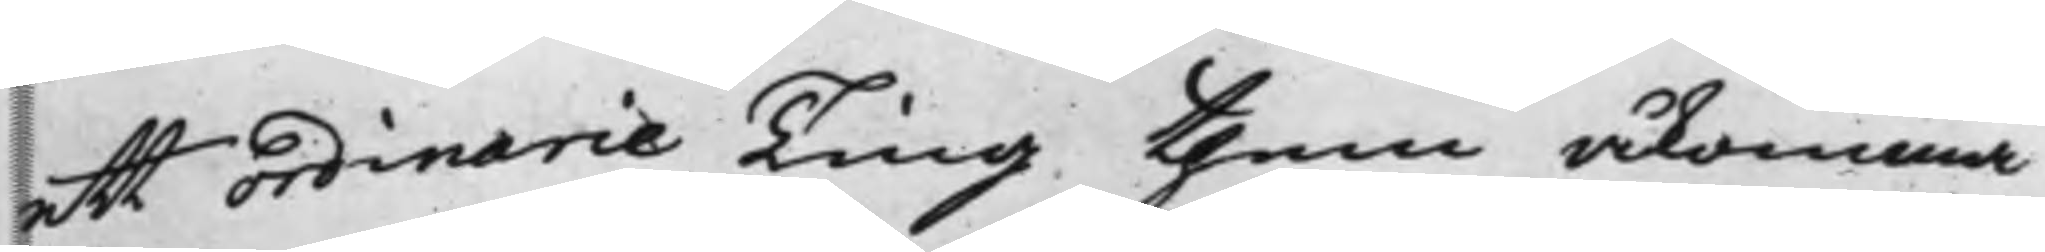ett Ordinarie Ting them åkomma
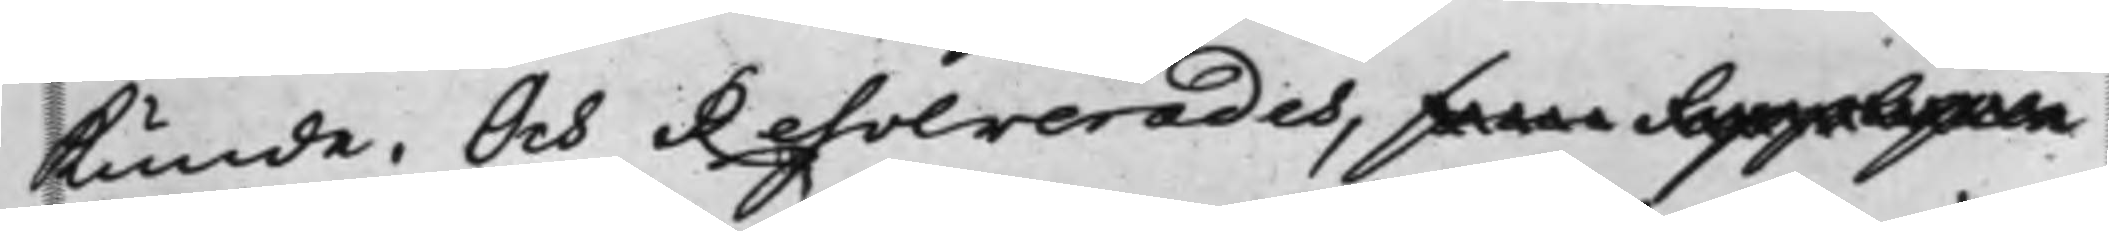Kunde. Och Resolverades, som Suppliquen
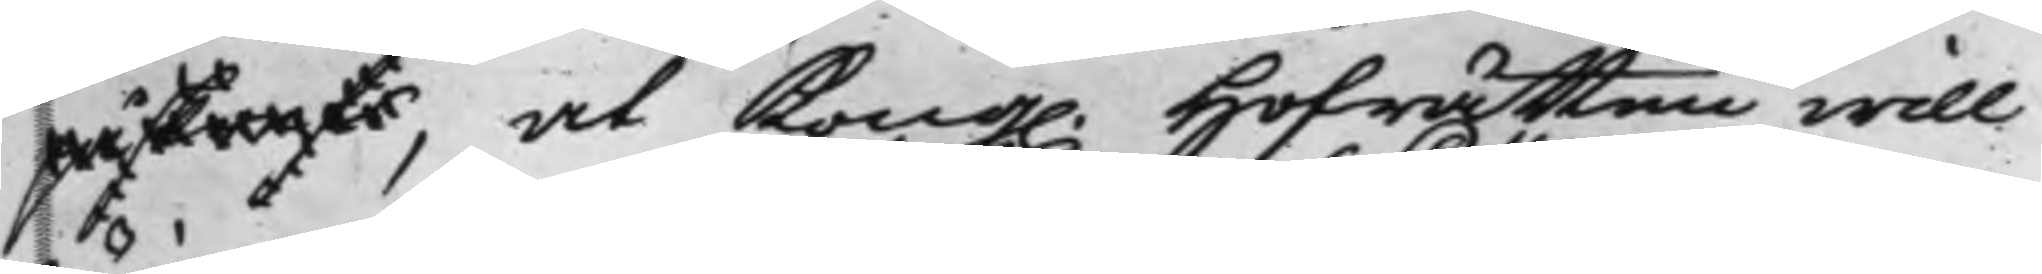påskrefs, at Kong. Hofrätten will
